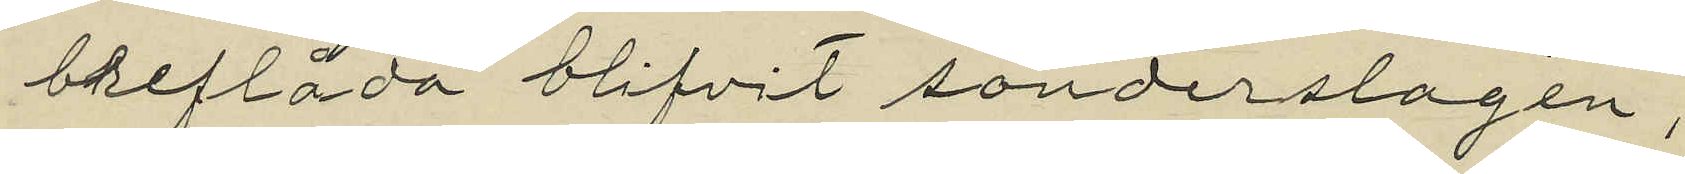breflåda blifvit sönderslagen;
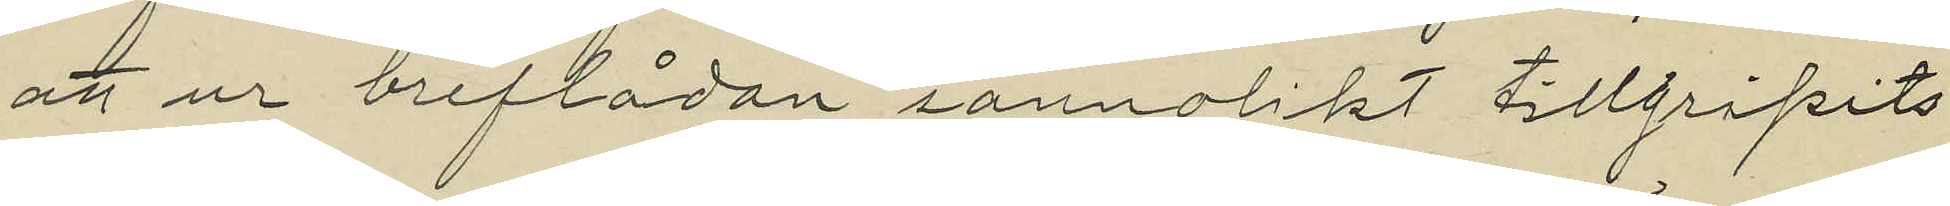att ur breflådan sannolikt tillgripits
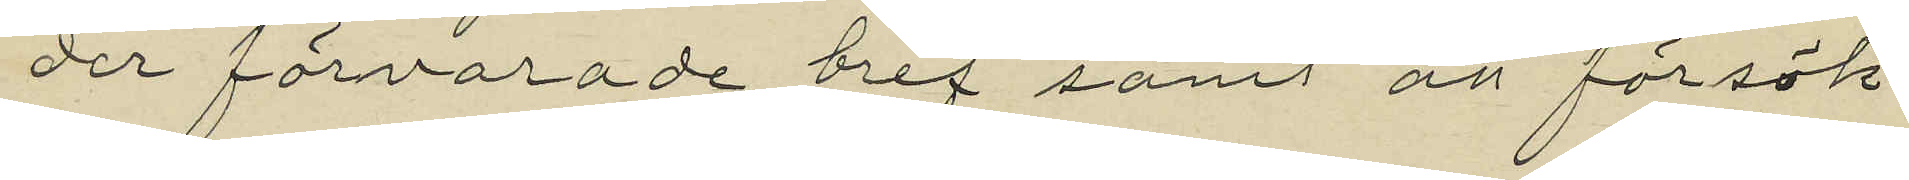der förvarade bref samt att försök
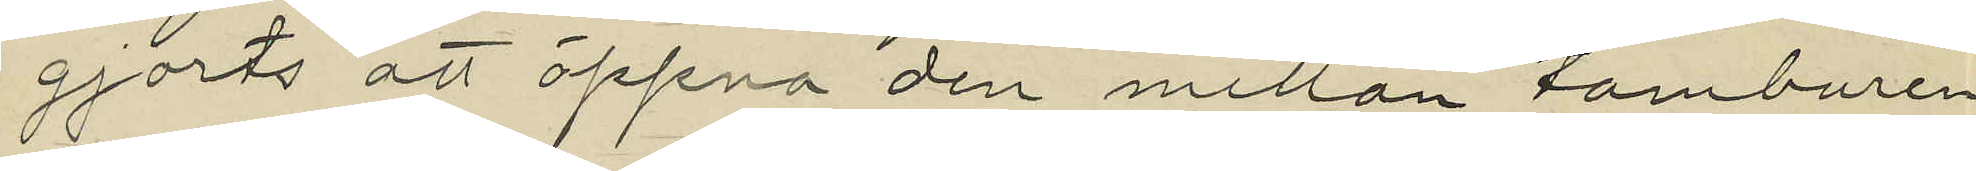gjorts att öppna den mellan tamburen
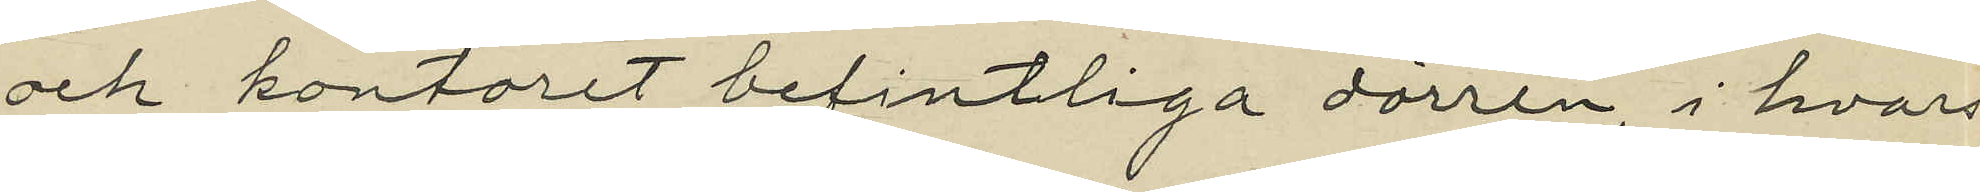och kontoret befintliga dörren, i hvars
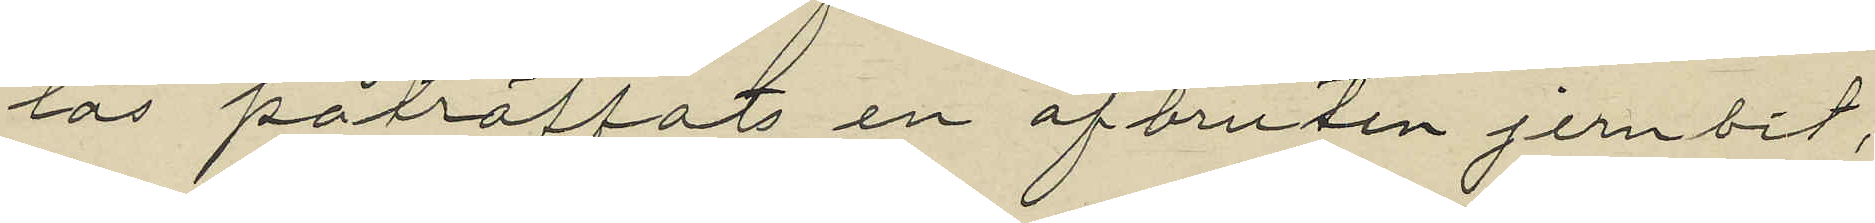lås påträffats en afbruten jernbit,
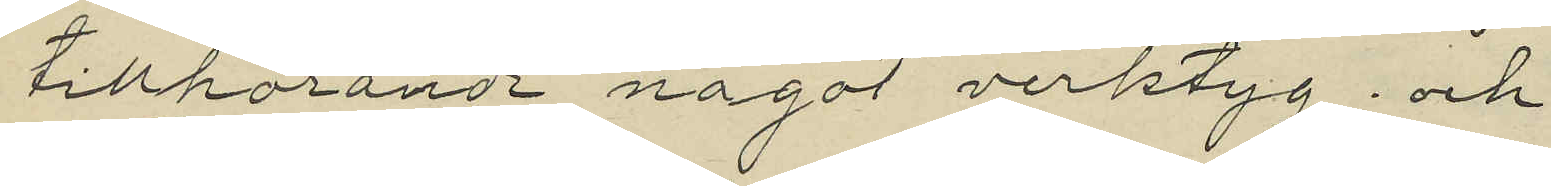tillhörande något verktyg; och
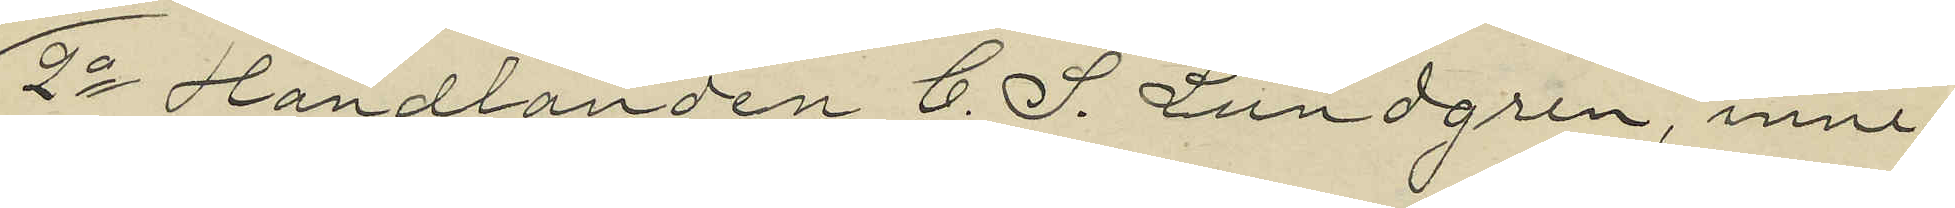2o Handlanden C. J. Lundgren, inne¬
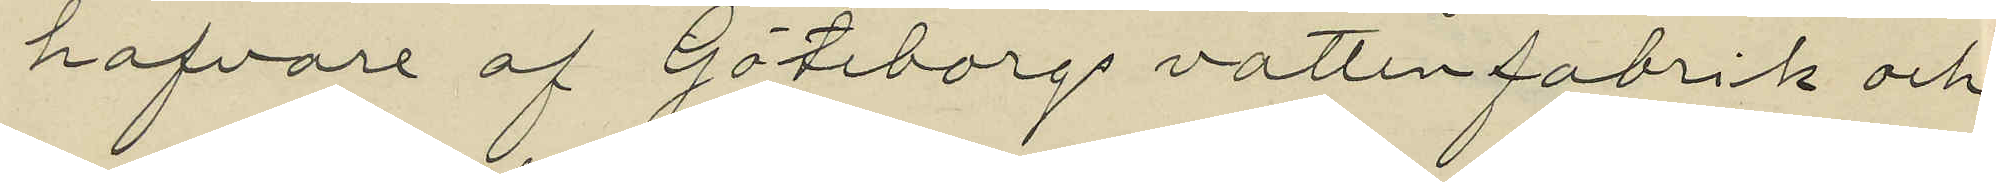hafvare af Göteborgs vattenfabrik och
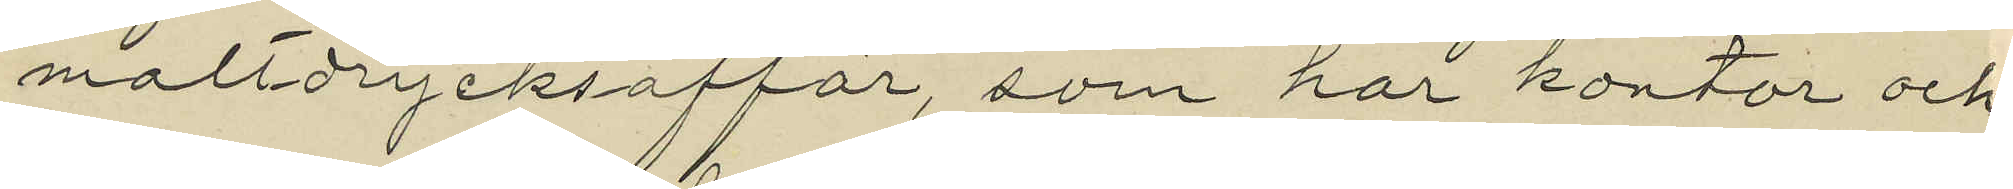maltdrycksaffär, som har kontor och
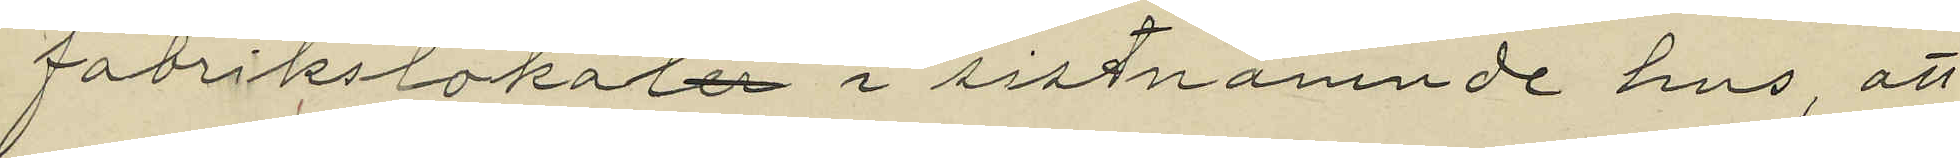fabrikslokaler i sistnämnde hus att
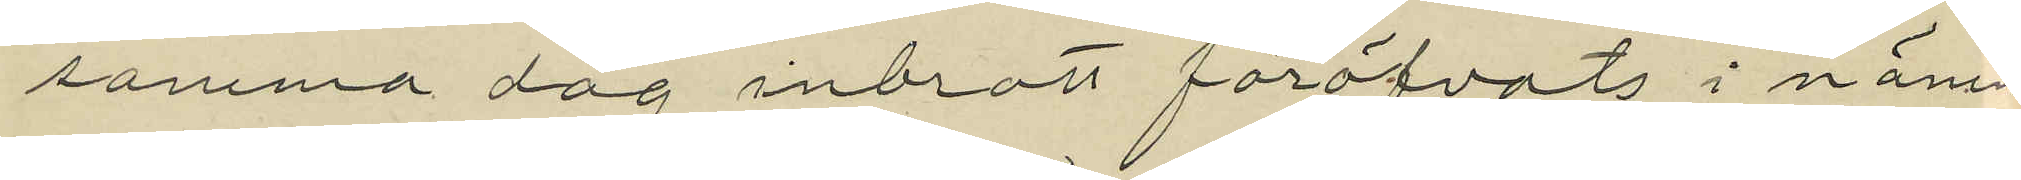samma dag inbrott föröfvats i nämn¬
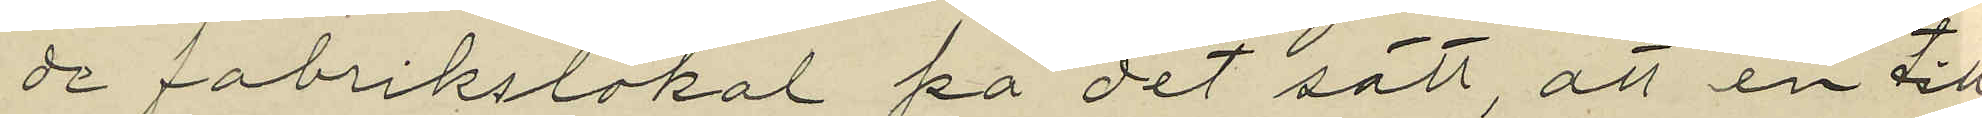de fabrikslokal på det sätt, att en till
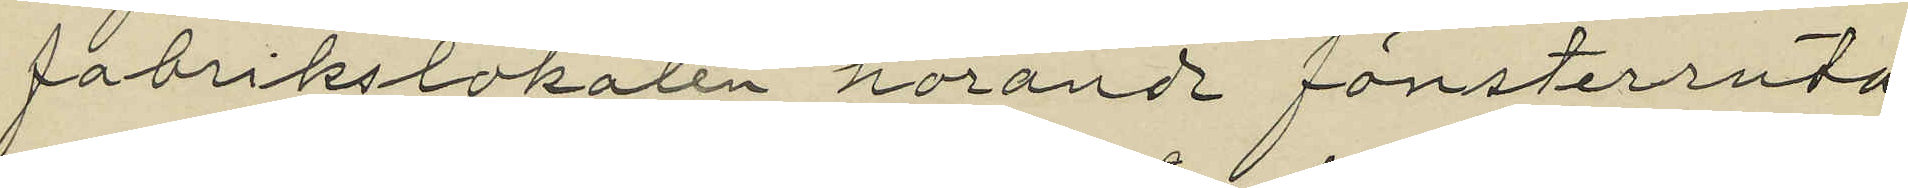fabrikslokalen hörande fönsterruta
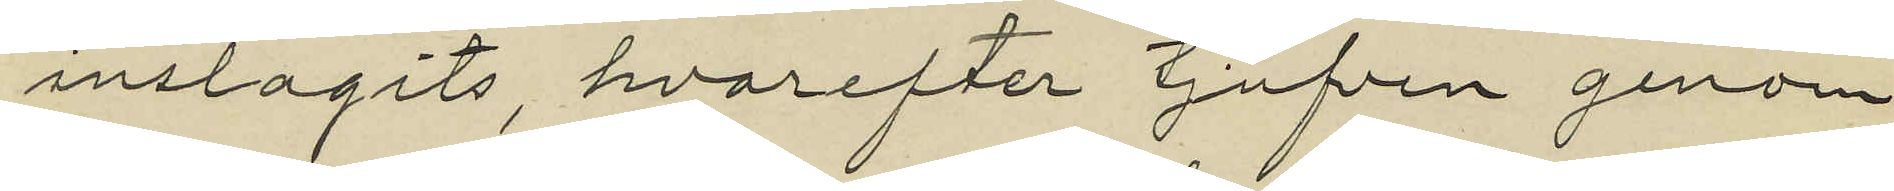inslagits, hvarefter tjufven genom
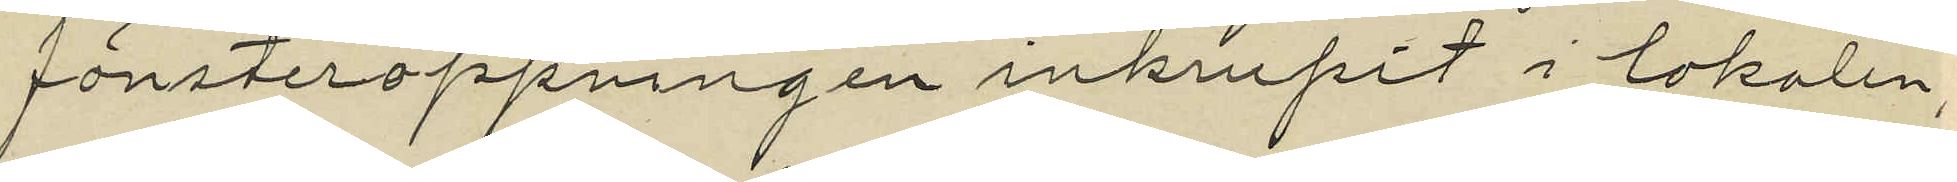fönsteröppningen inkrupit i lokalen;
